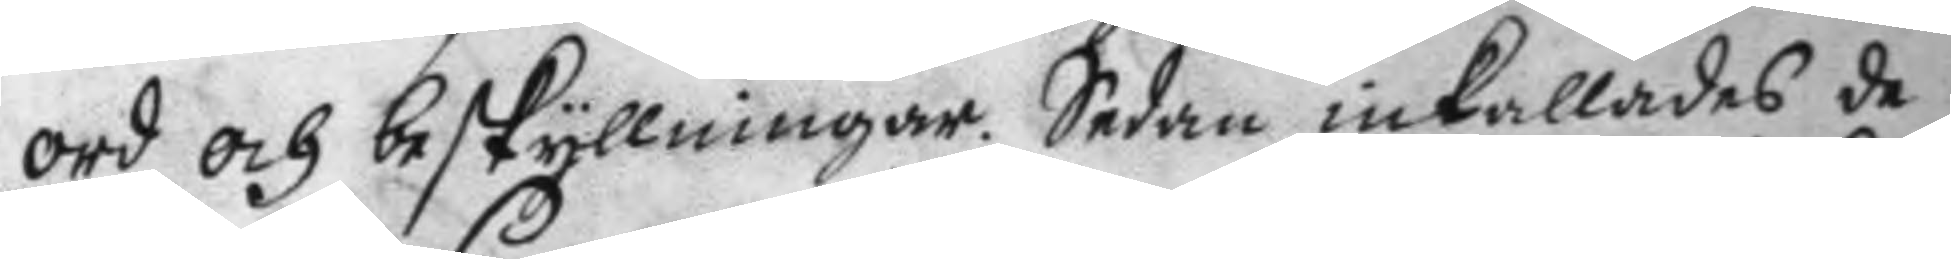ord och beskyllningar. Sedan inkallades de
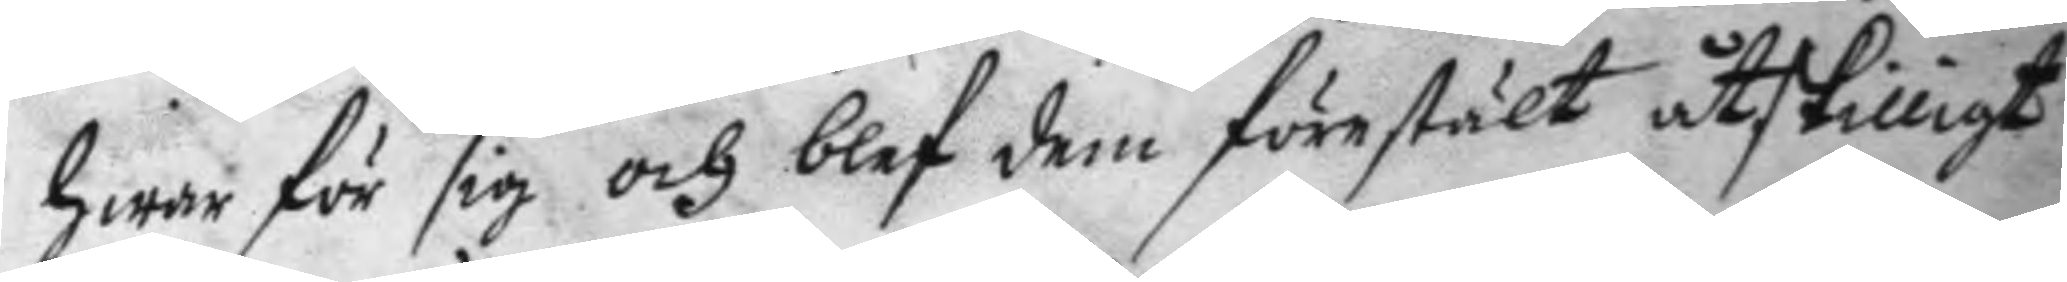hwar för sig och blef dem förestält åtskilligt
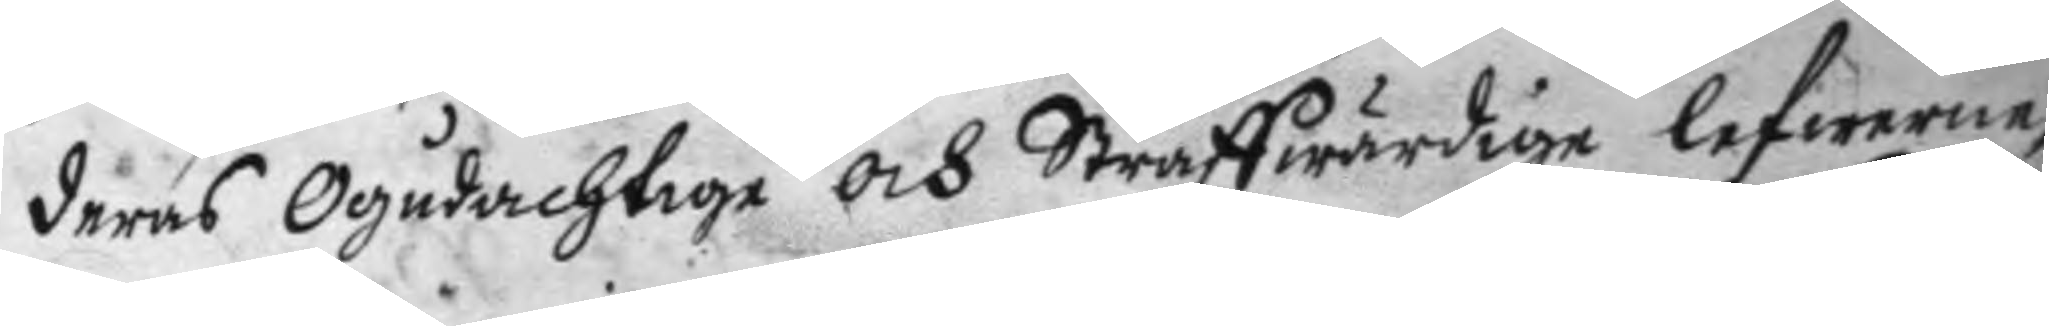deras Ogudachtige och Straffwärdige lefwerne,
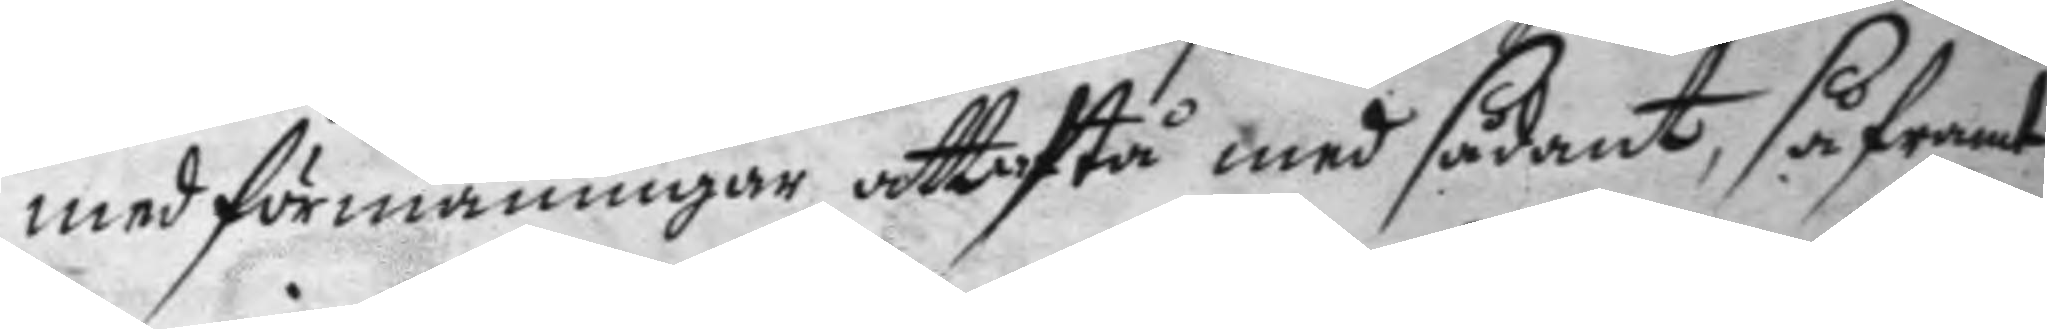med förmaningar att afstå med sådant, så framt
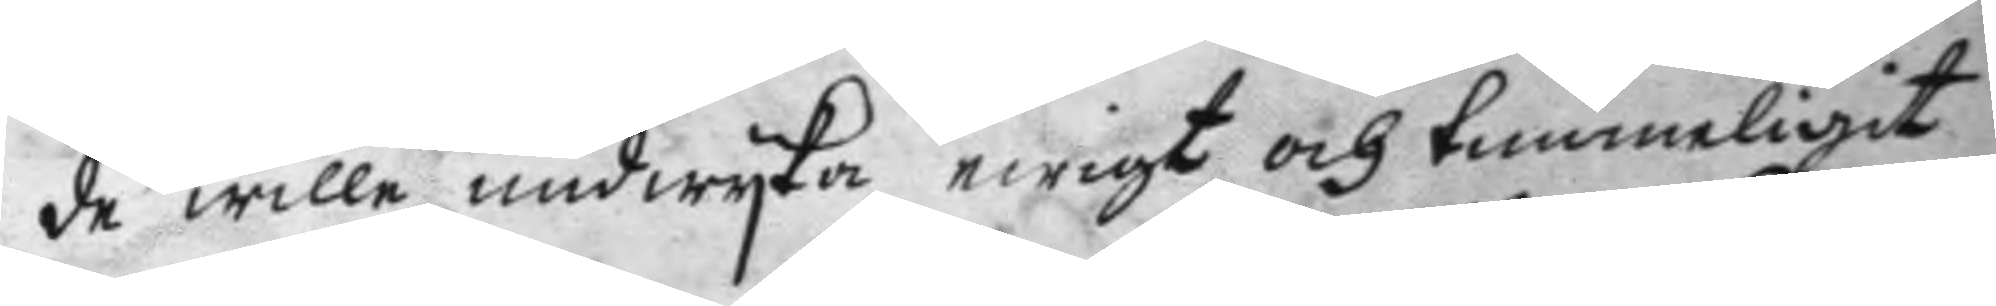de wille undwyka ewigt och timmeligit
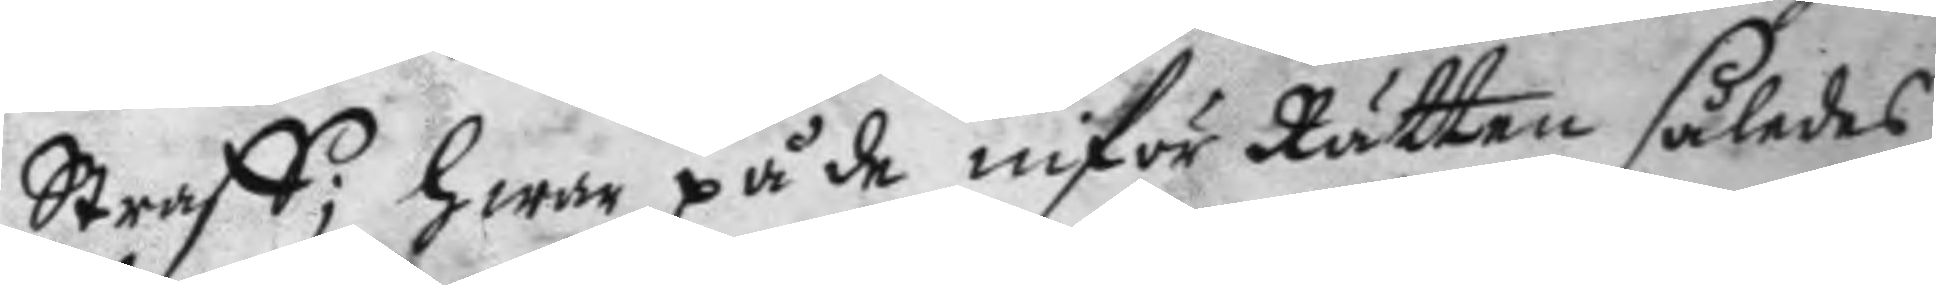Straff; hwar på de inför Rätten således
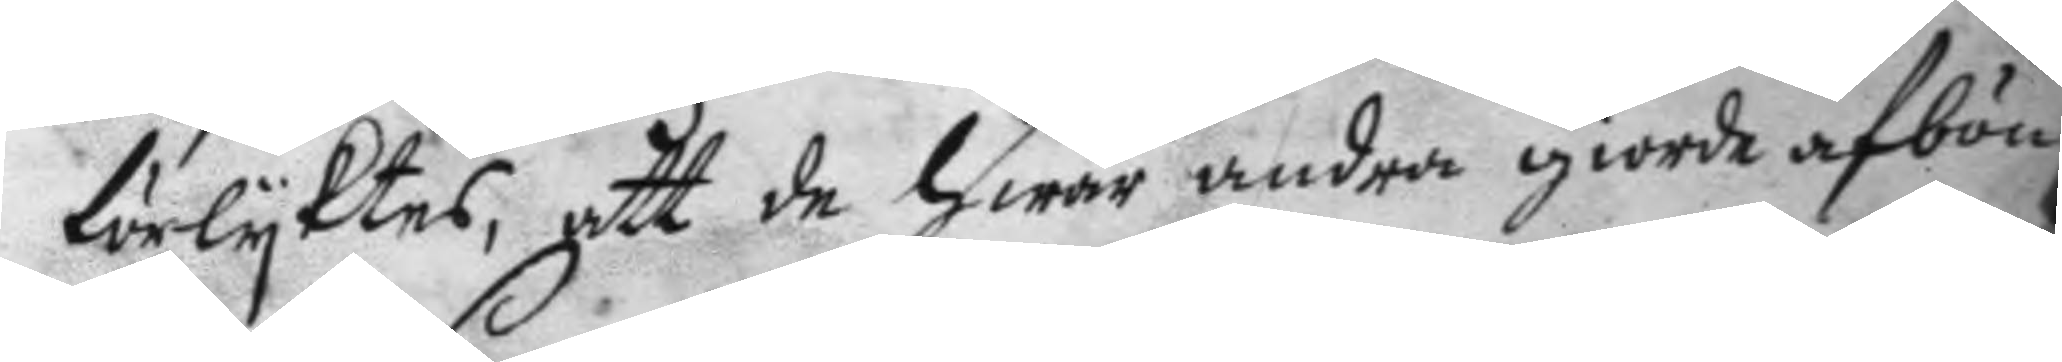förlyktes, att de hwar andra giorde afbön
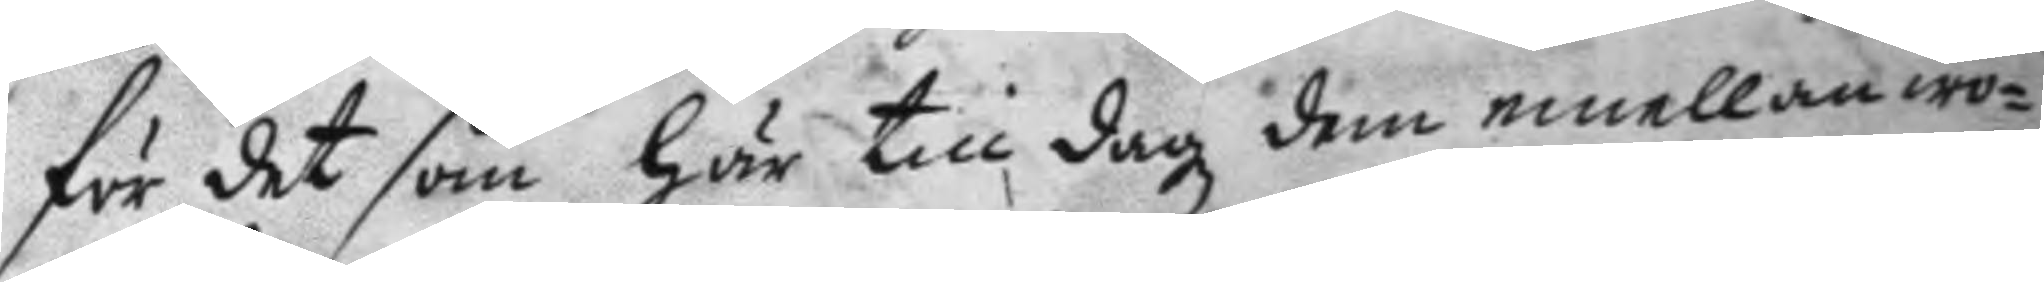för det som här till dagz dem emellan wo¬
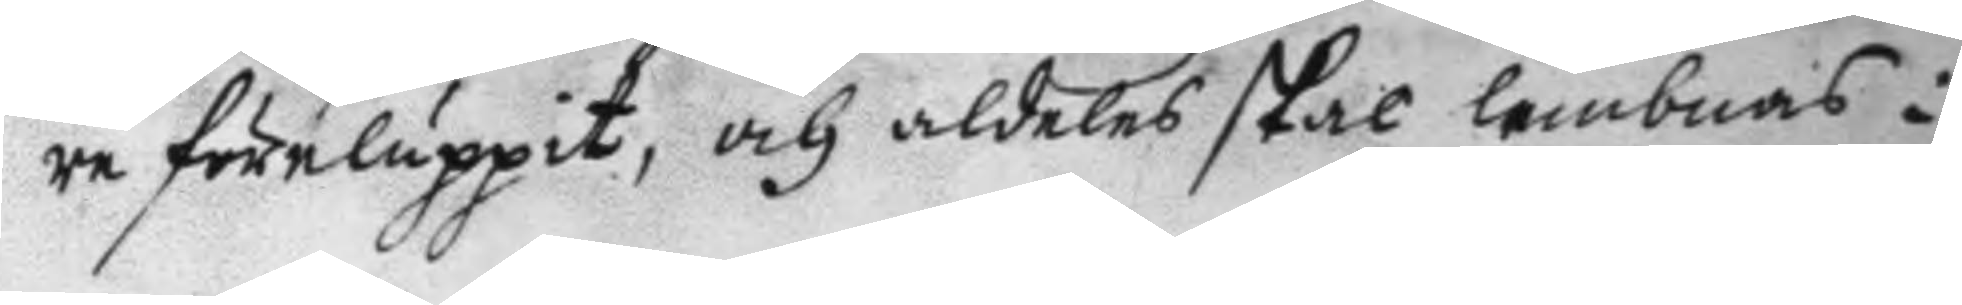re föreluppit, och aldeles skal lembnas i
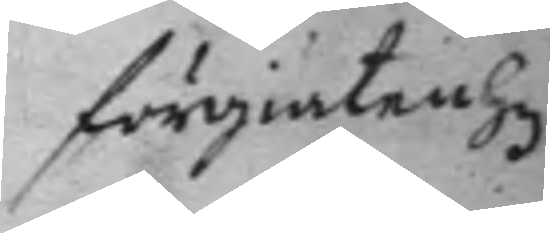förgiätenhez
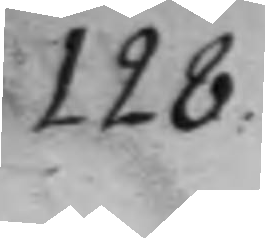128.
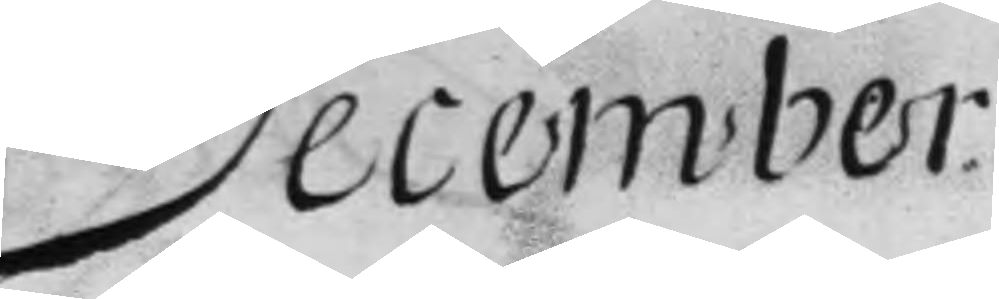December.
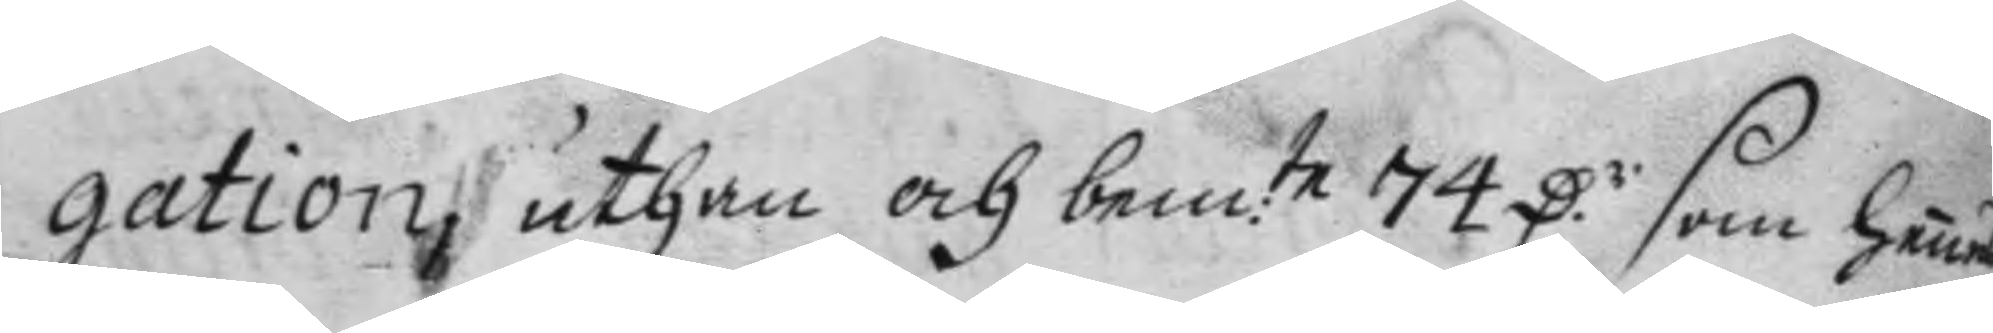gation, uthan och bemte 74 D.r som hennes
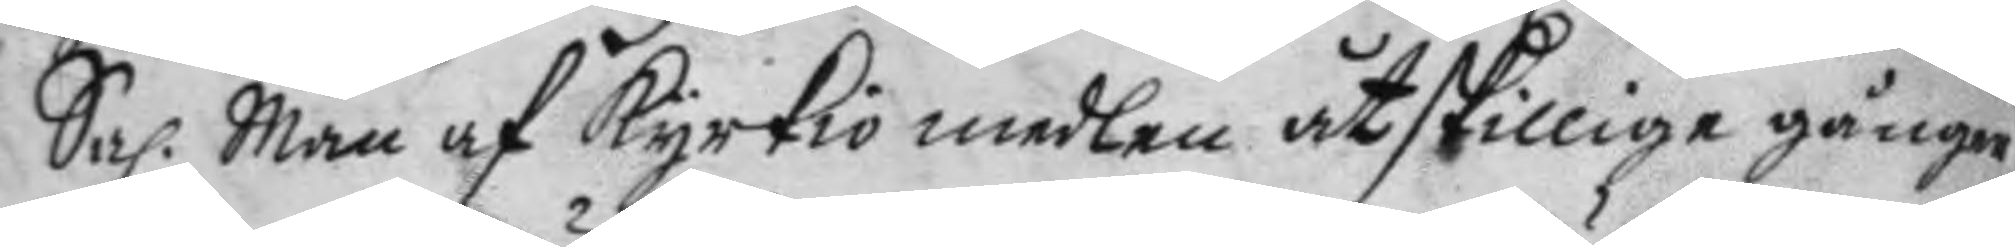Sal. Man af kyrkio medlen åthskillige gånger
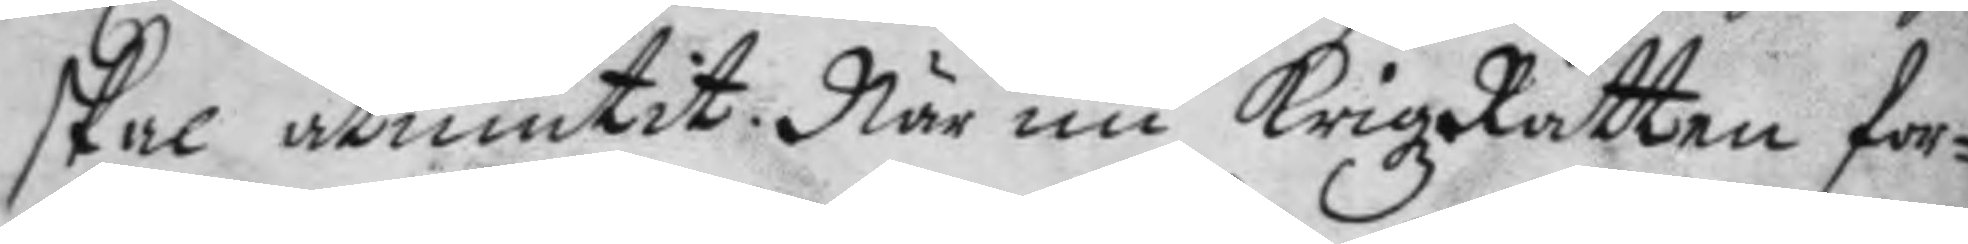skal åtniutit. När nu KrigzRätten for¬
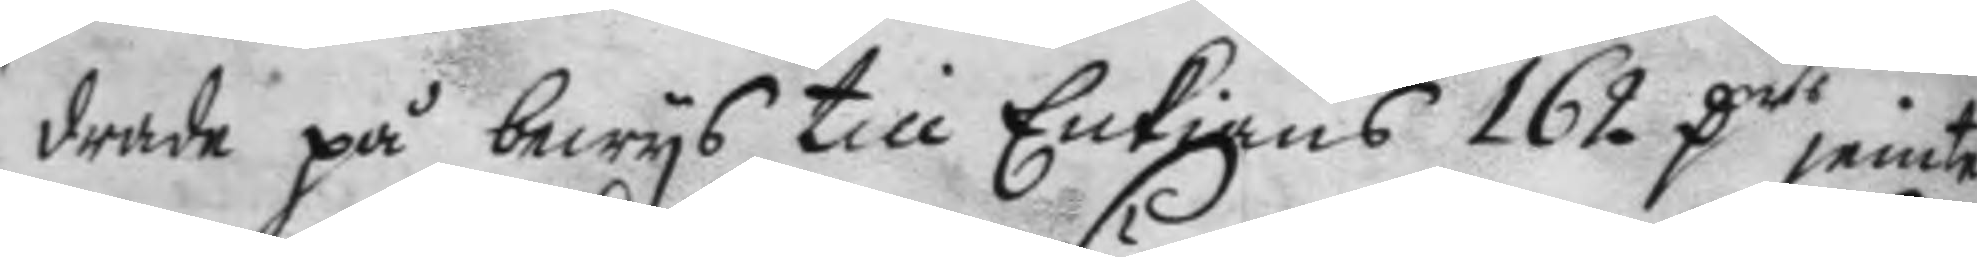drade på bewys till Enkians 162 Ders jemte
